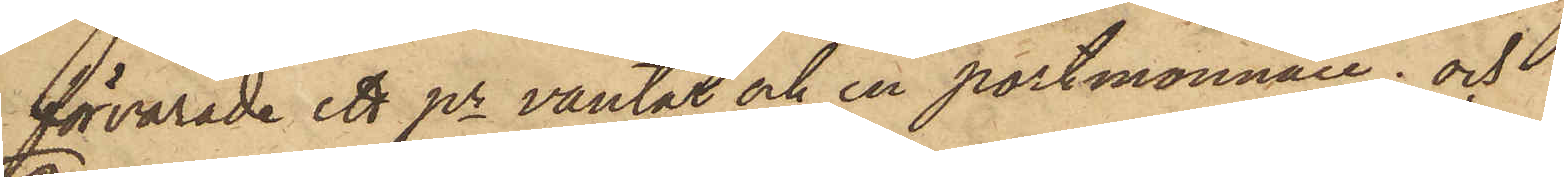förvarade ett pr vantar och en portmonnaie; och
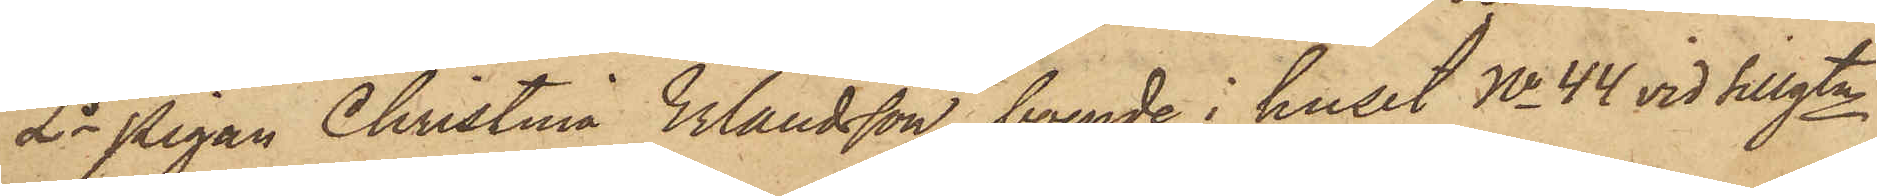2o Pigan Christina Erlandsson, boende i huset No 44 vid Sillgtn
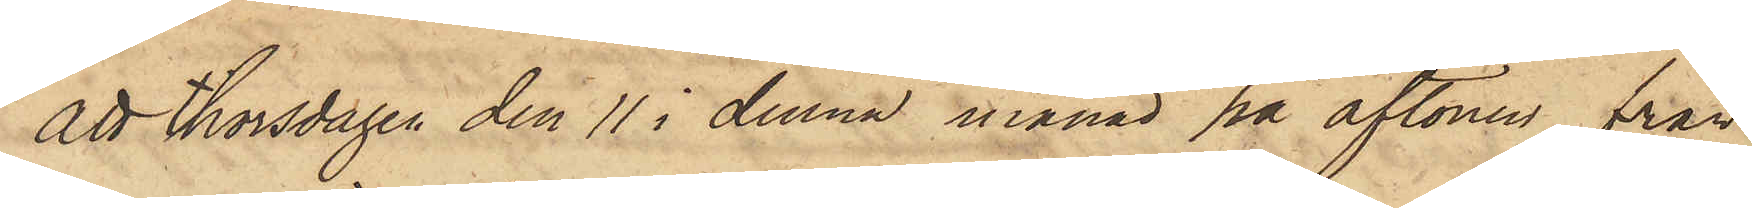att thorsdagen den 11 i denna månad på aftonen från
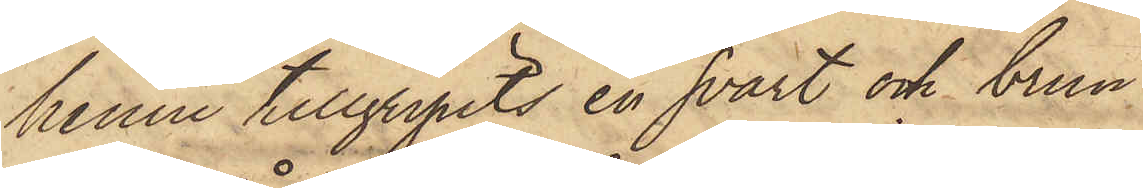henne tillgripits en svart och brun
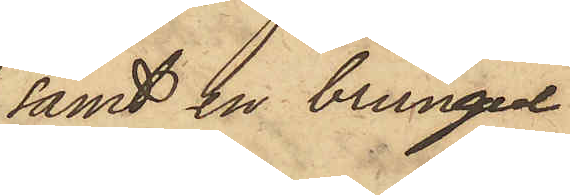samt en brungul
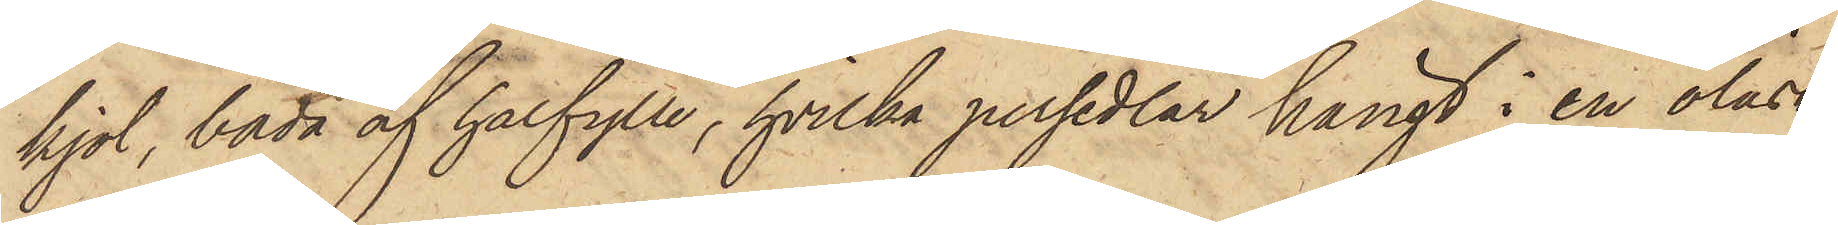kjol, båda af halfylle, hvilka persedlar hängt i en olåst
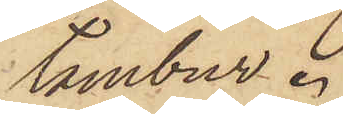tambur.
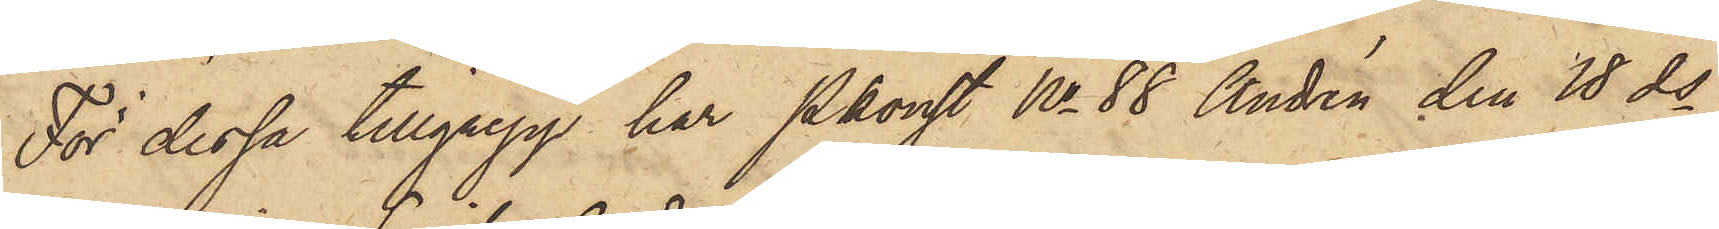För dessa tillgrepp har Pkonst No 88 Andrén den 18 ds
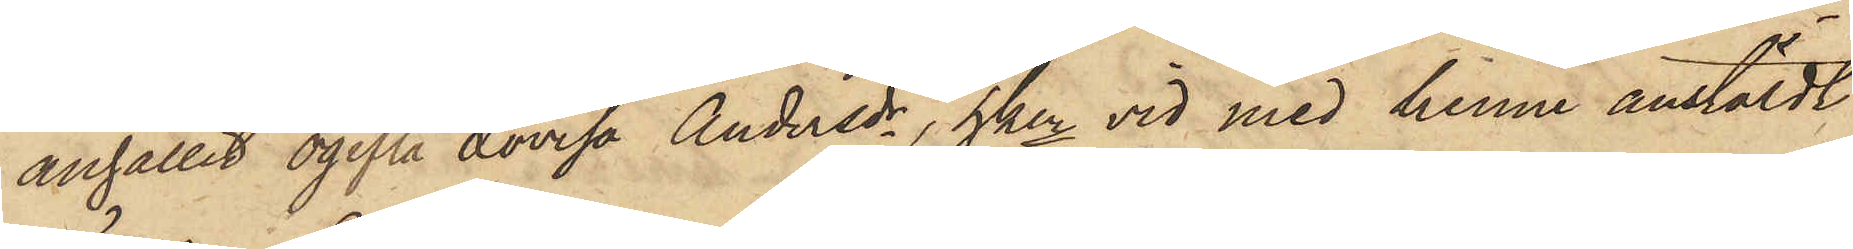anhållit ogifta Lovisa Andersdr, hken vid med henne anstäldt
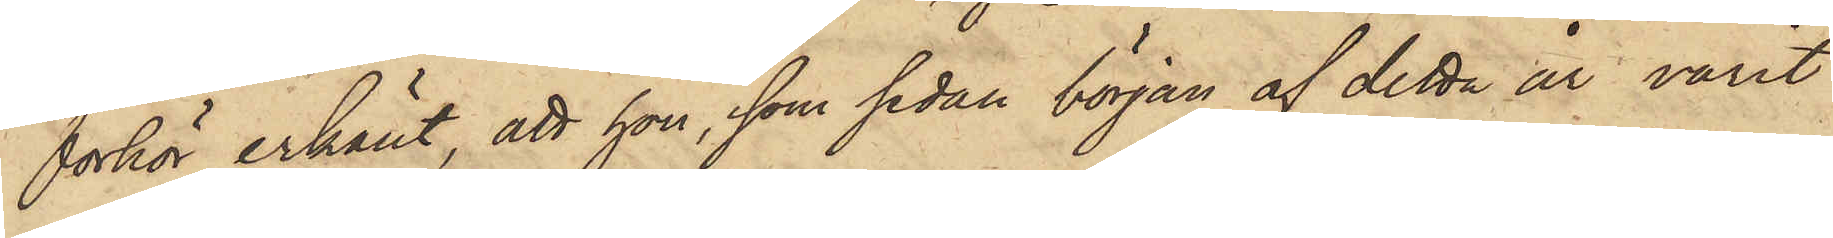förhör erkänt, att hon, som sedan början af detta år varit
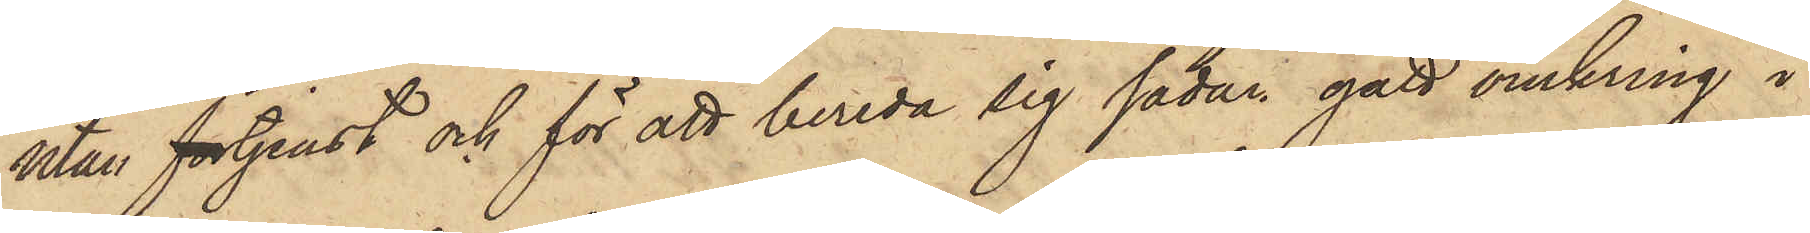utan förtjenst och för att bereda sig sådan gått omkring i
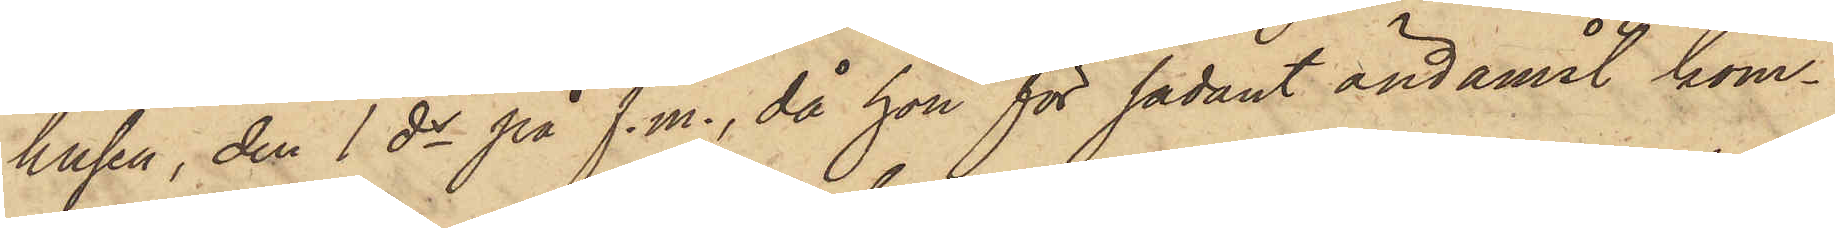husen, den 1 ds på f.m., då hon för sådant ändamål kom¬
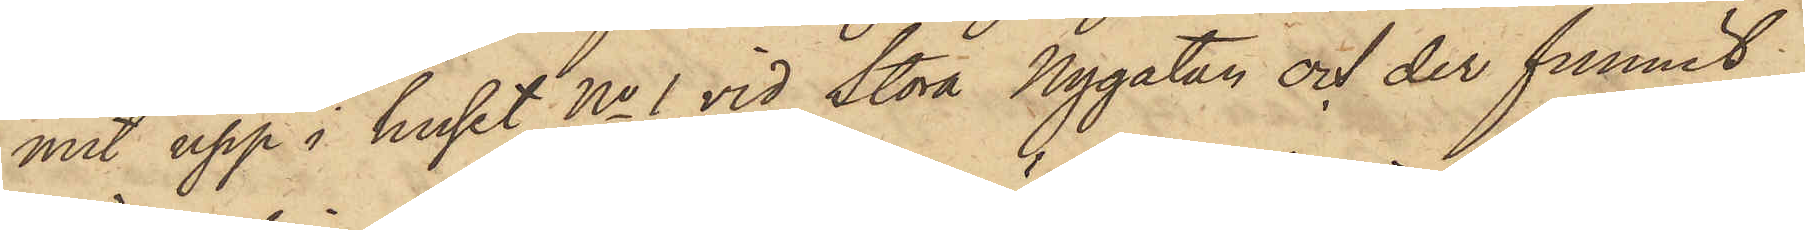mit upp i huset No 1 vid Stora Nygatan och der funnit
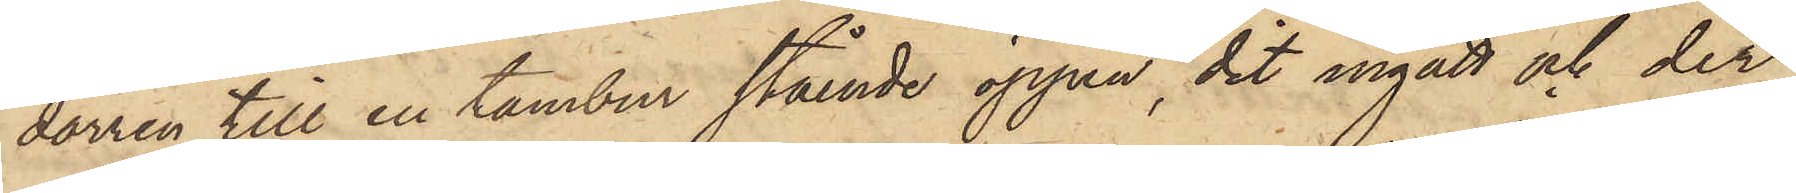dörren till en tambur stående öppen, dit ingått och der
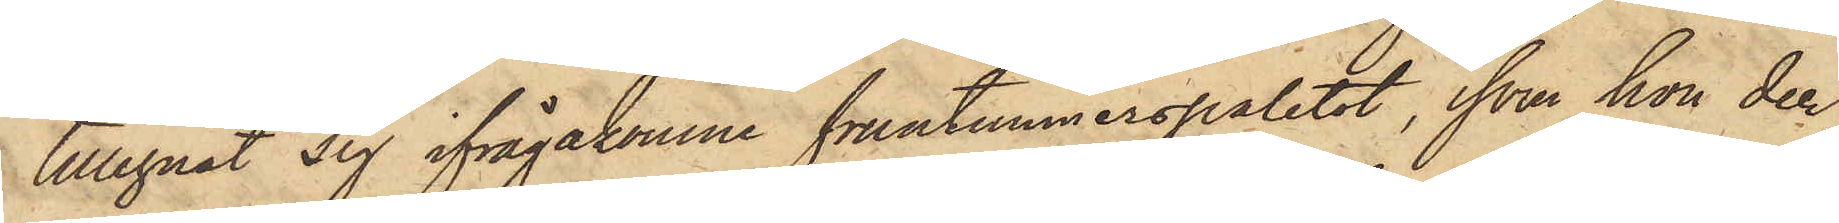tillegnat sig ifrågakomne fruntimmerspaletot, som hon der¬
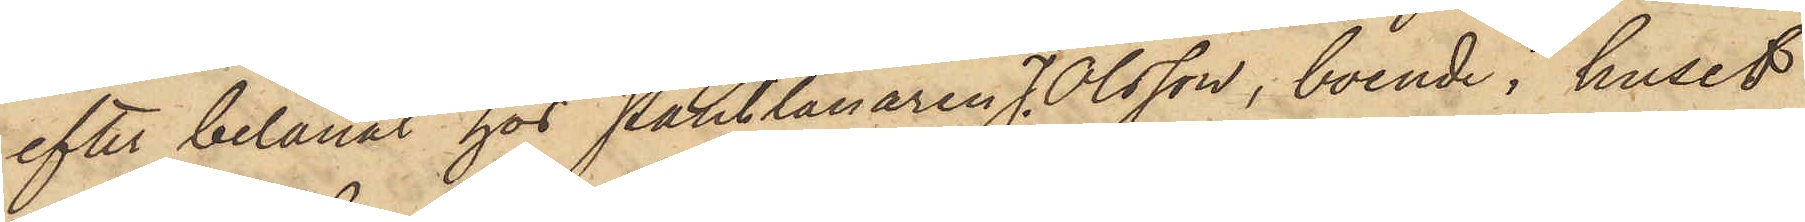efter belånat hos Pantlånaren J.Olsson, boende i huset
